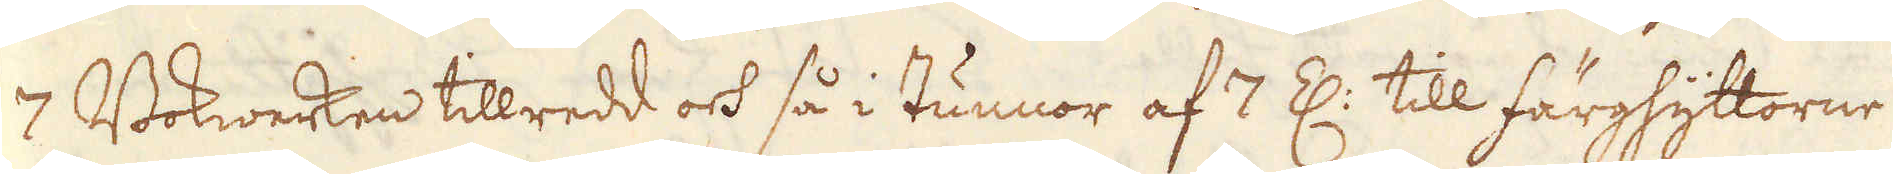7 Bokwerken tillredd och så i tunnor af 7 Z: till färghyttorne
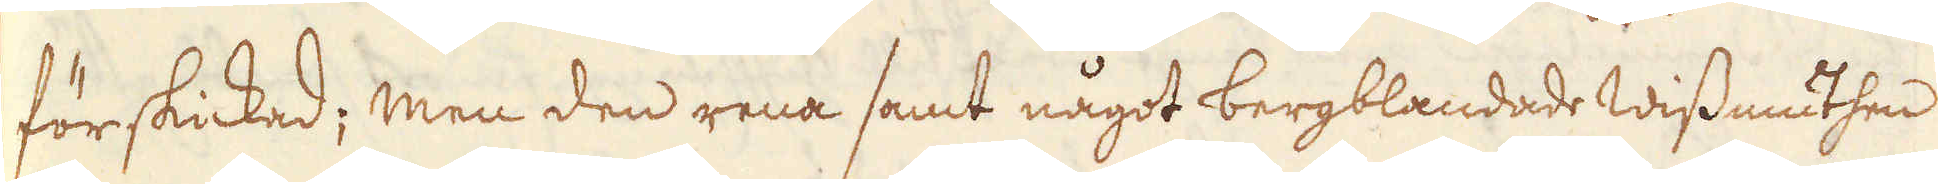förskickad; men den rena samt något bergblandade Wissmuthen
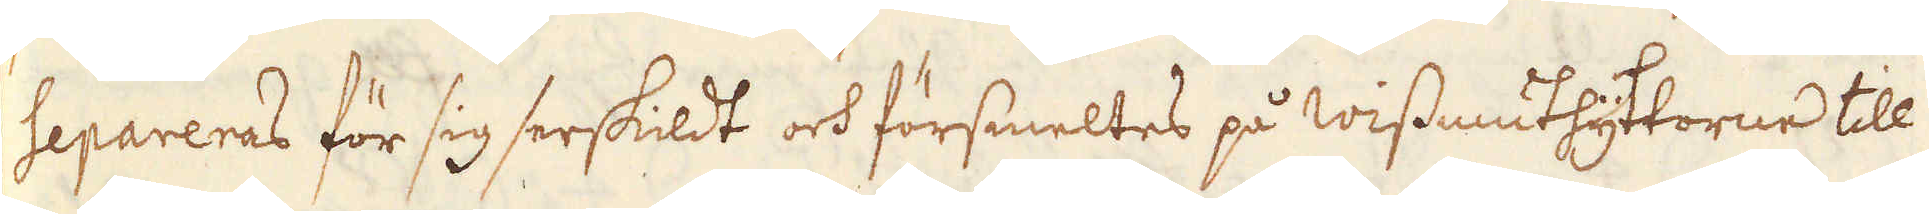separeras för sig serskildt och försmeltes på Wissmuthyttorne till
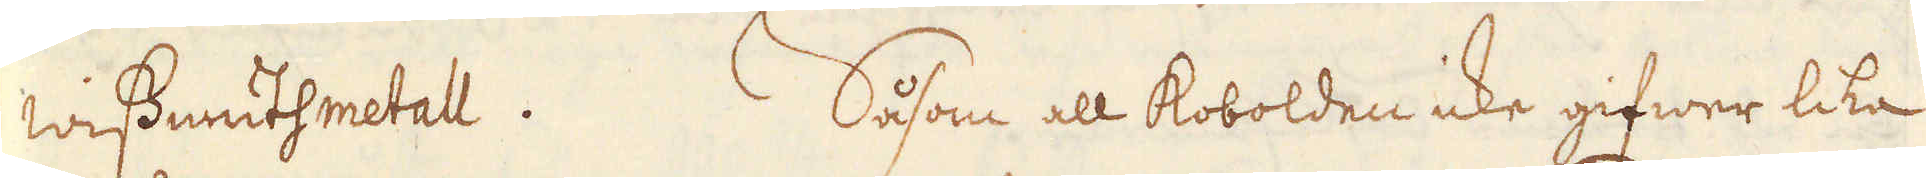Wissmuthmetall. Såsom all Kobolden icke gifwer lika
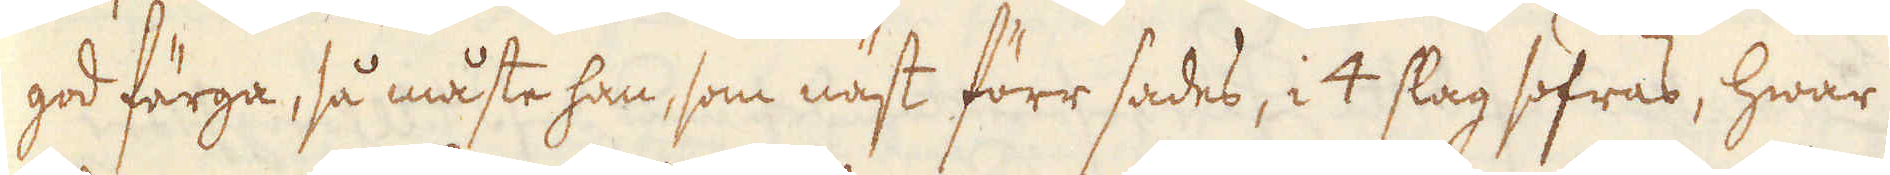god färga, så måste han, som näst förr sades, i 4 slag sofras, hwar
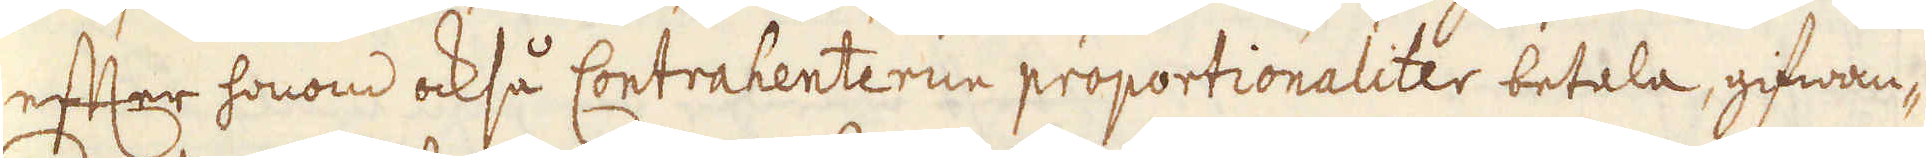effter honom också Contrahenterne proportionaliter betala, gifwan-
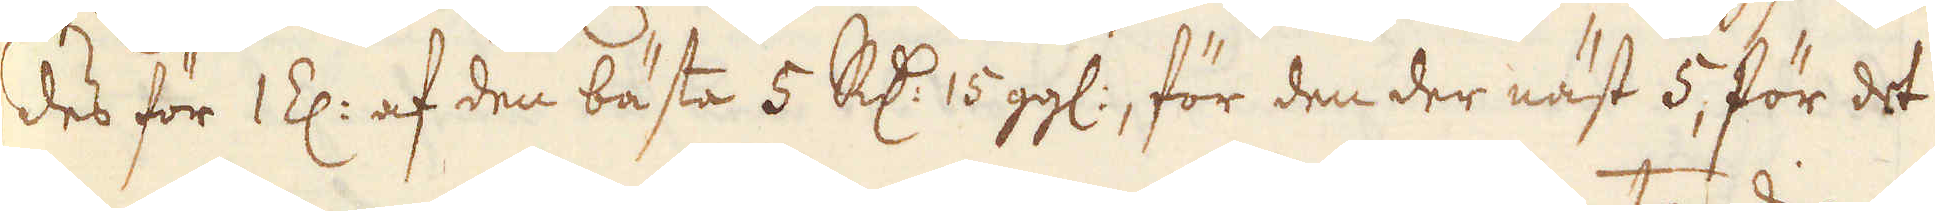des för 1 Z: af den bästa 5 R:dr 15 gg:, för den der näst 5, för det
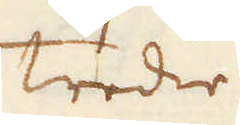tredie
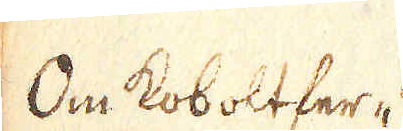Om Koboltfer-
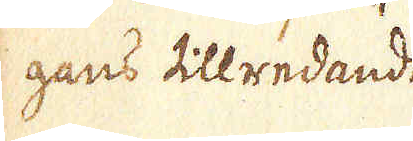gans tillredande
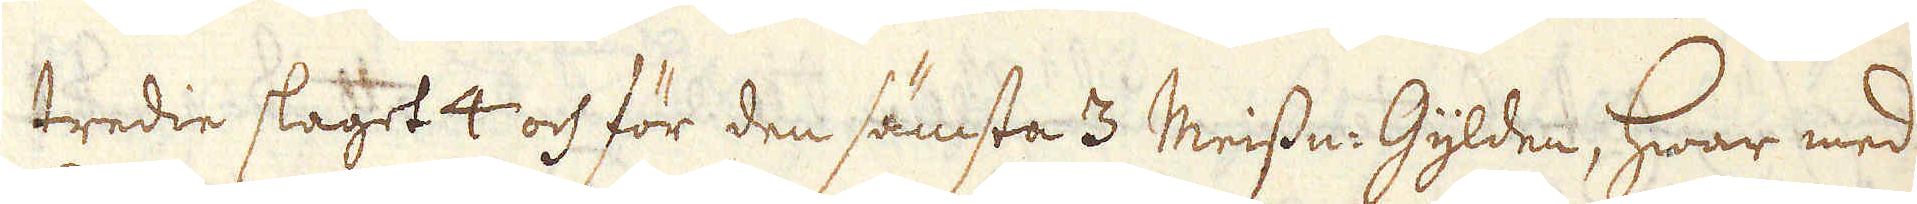tredie slaget 4 och för den sämsta 3 Meissn: Gylden, hwar med
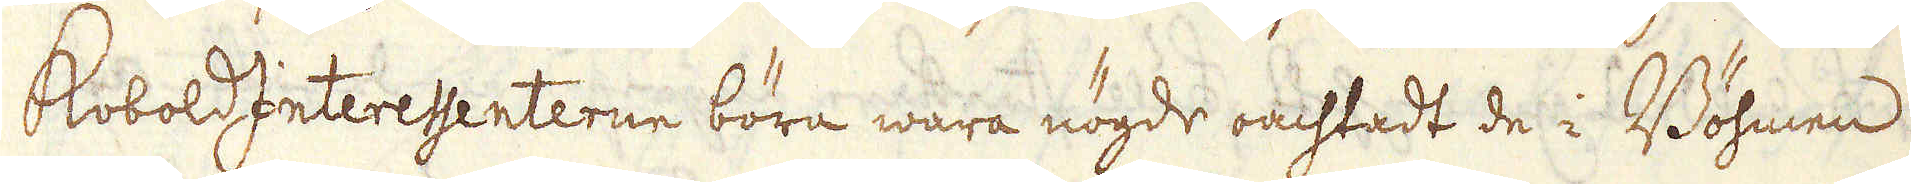KoboldInteressenterne böra wara nögde oachtadt de i Böhmen
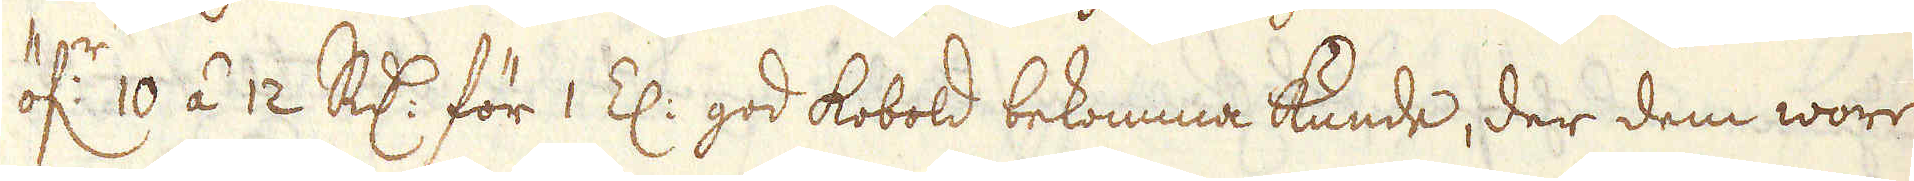öf:r 10 á 12 R:dr för 1 Z: god kobold bekomma kunde, der dem wore
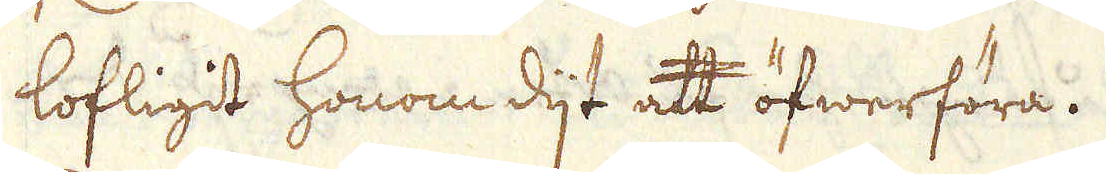lofligit honom dijt att öfwerföra.
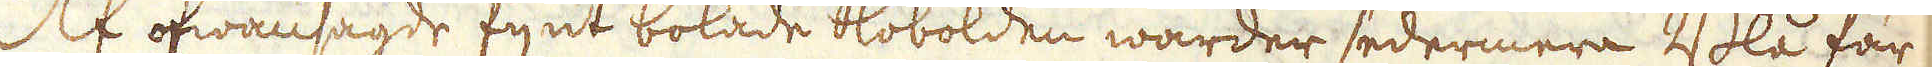Af ofwansagde fijnt bokade Kobolden warder sedermera Blå fär-
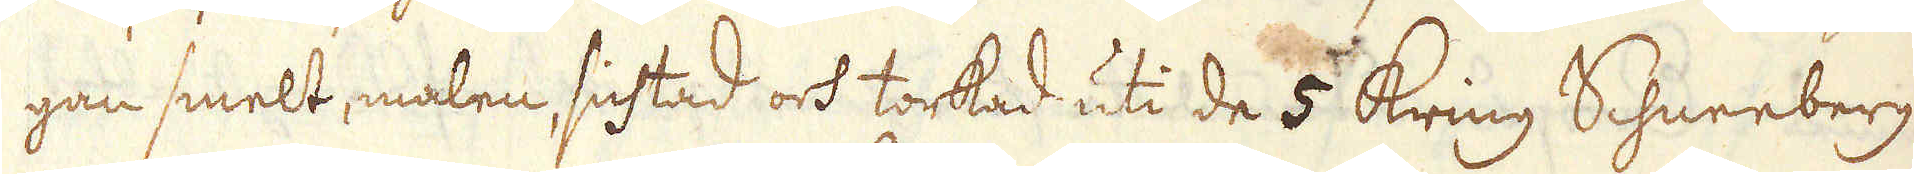gan smelt, malen, sichtad och torkad uti de 5 Kring Schneeberg
